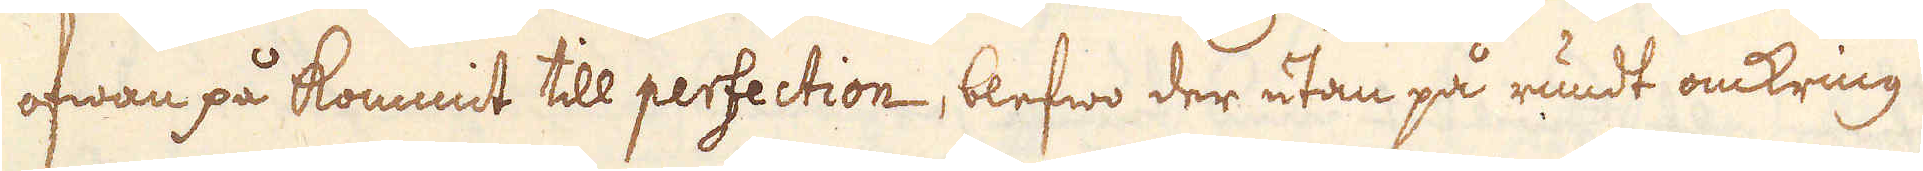ofwan på kommit till perfection, blefwo der utan på rundt omkring
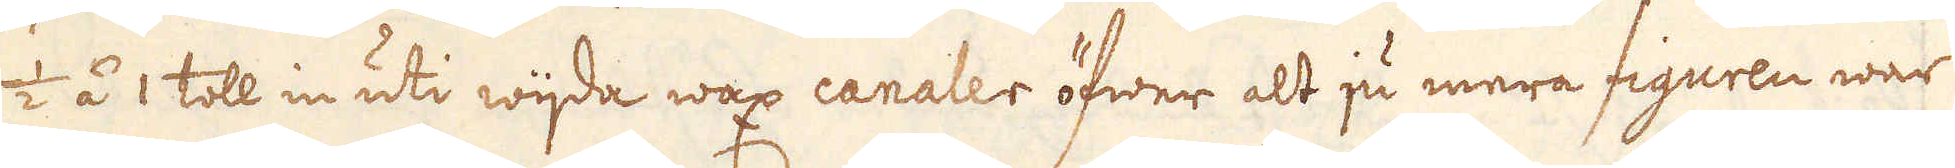1/2 á 1 till in uti wijda wax canaler öfwer alt ju mera figuren war
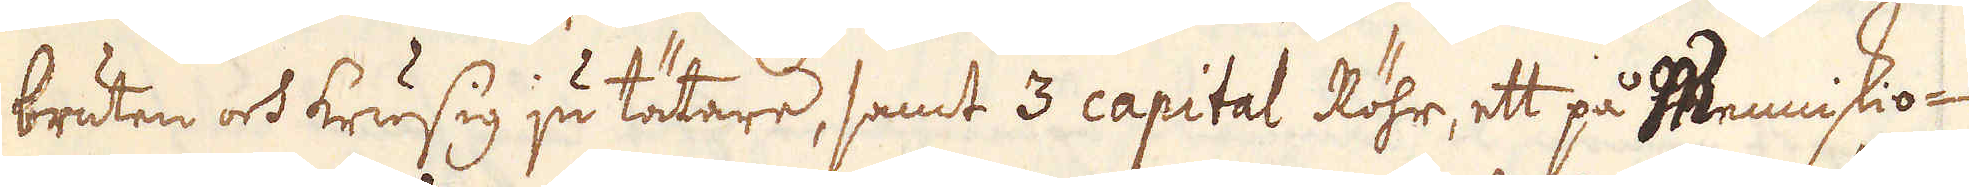bruten och krusig ju tätare, samt 3 capital Röhr, ett på Menniskio-
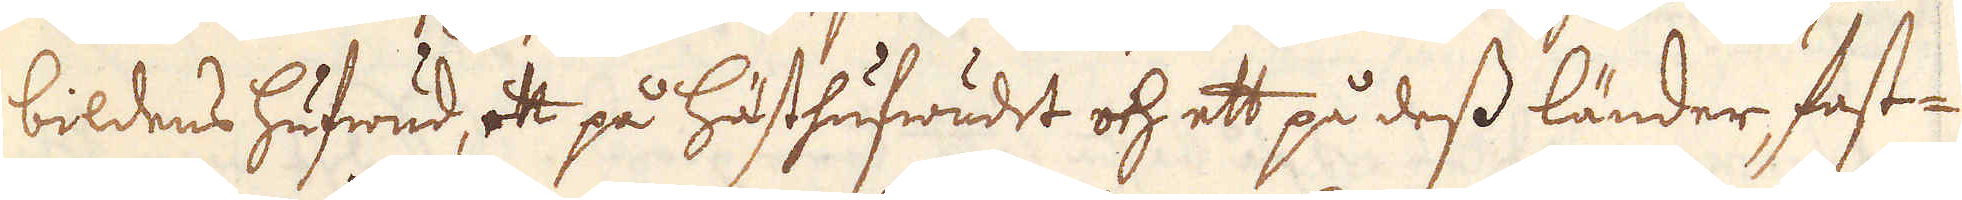bildens hufwud, et på hästhufwudet och ett på dess länder fast-
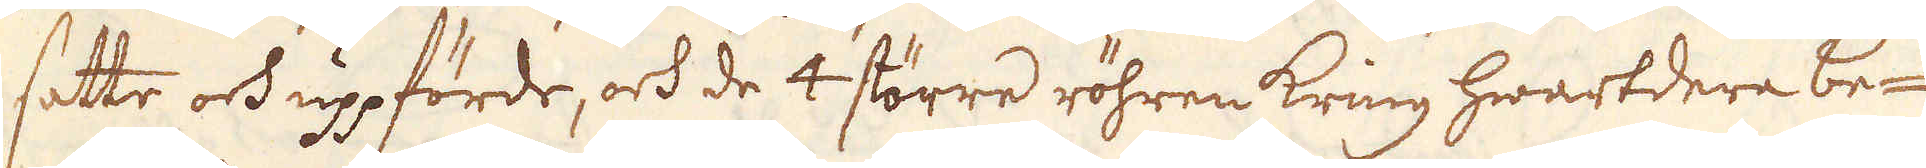satte och uppförde, och de 4 större röhren kring hwartdera be-
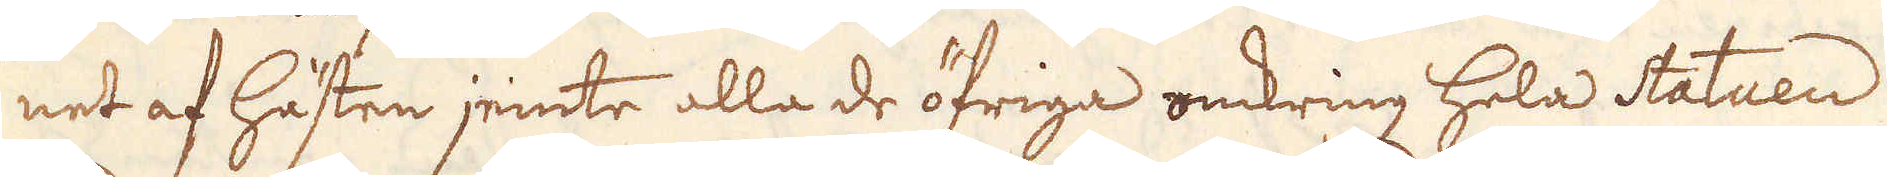net af hästen jemte alla de öfriga omkring hela Statuen
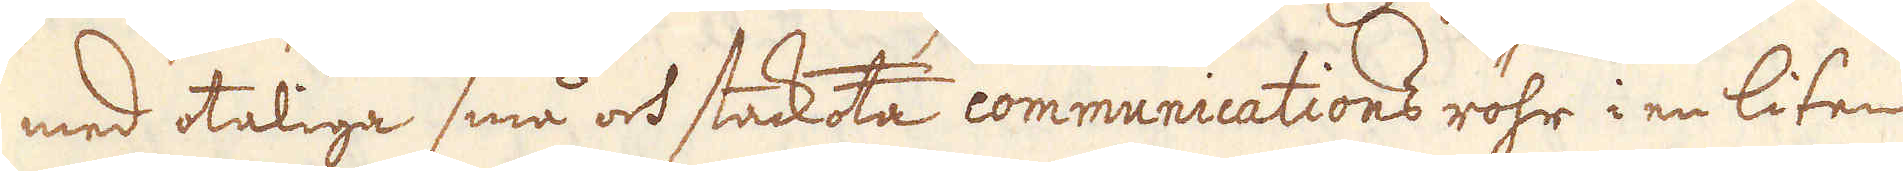med otaliga små och stackota communications röhr i en liten
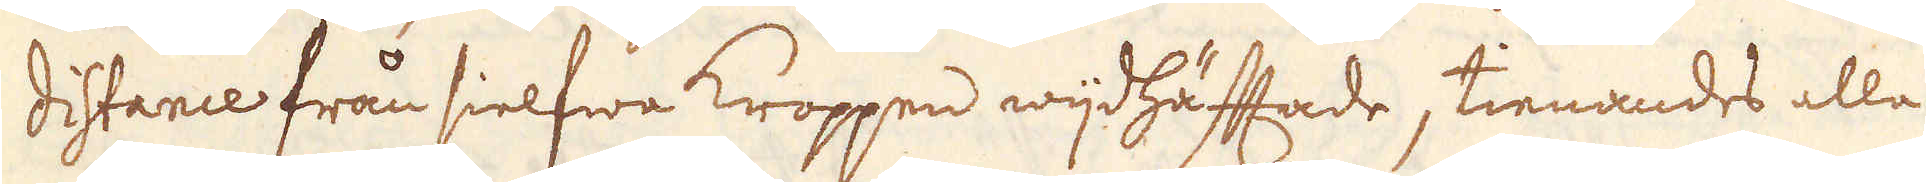distance från sielfwa kroppen wijdhäftade, tienandes alla
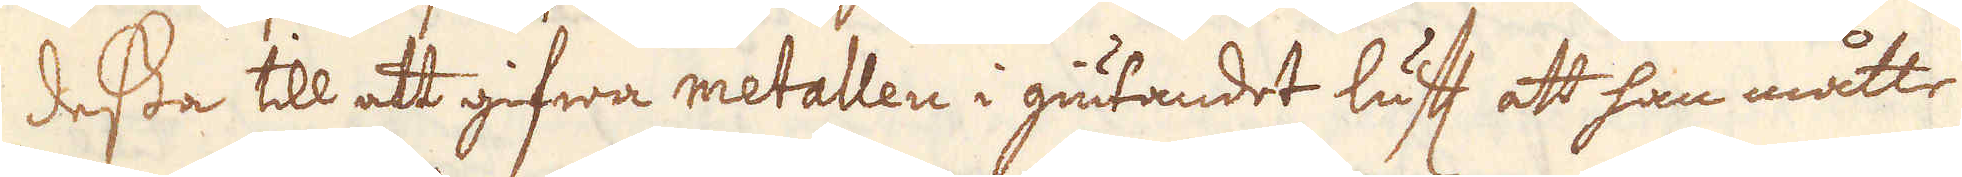dessa till att gifwa metallen i giutandet luft att han måtte
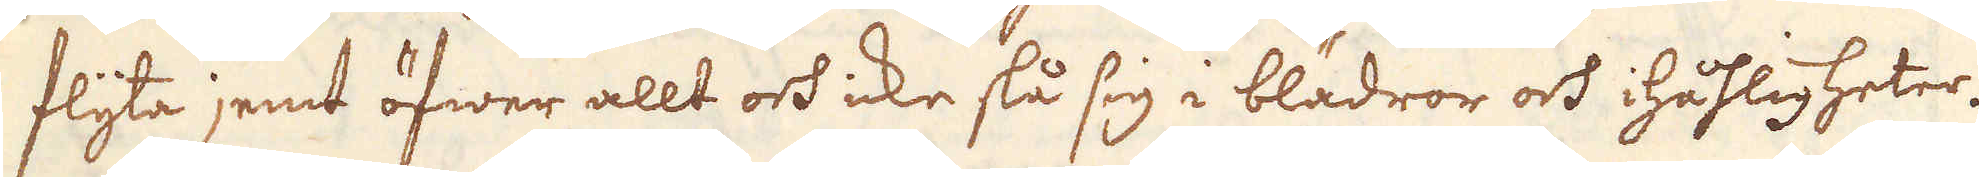flyta jemt öfwer allt och icke stå sig i blädror och ihåhligheter.
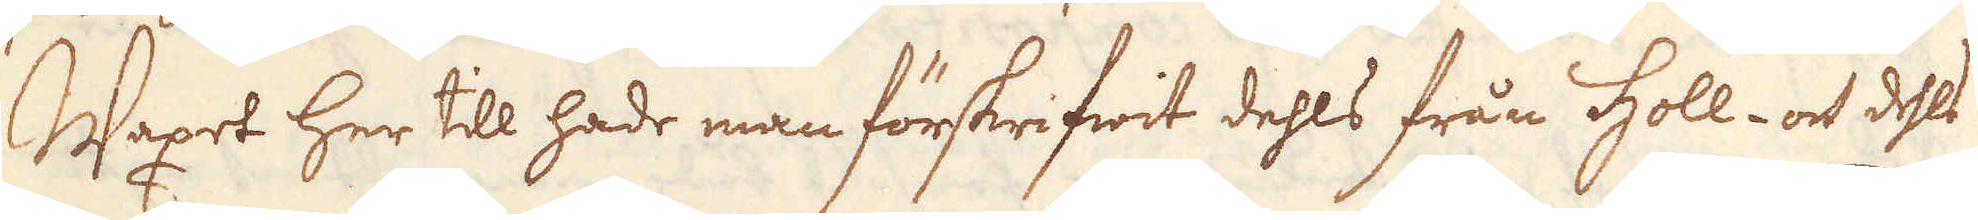Waxet her till hade man förskrifwit dehls från holl. och dels
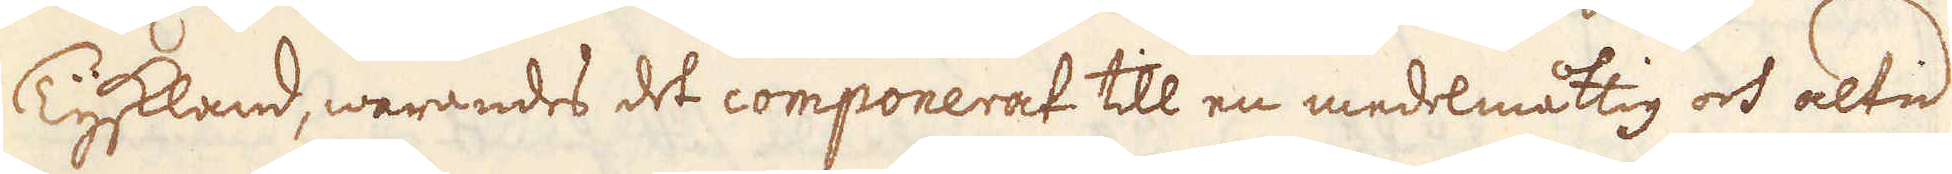Tyskland, warandes det componerat till en medelmåttig och altid
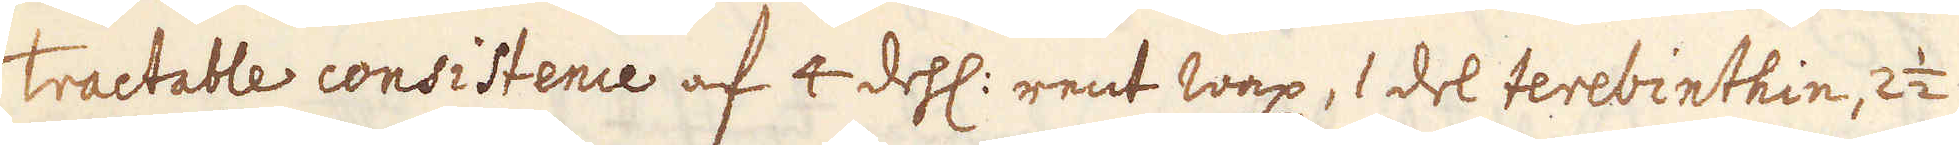tractable consistence af 4 dehl: rent wax, 1 del terebinthin, 2 1/2
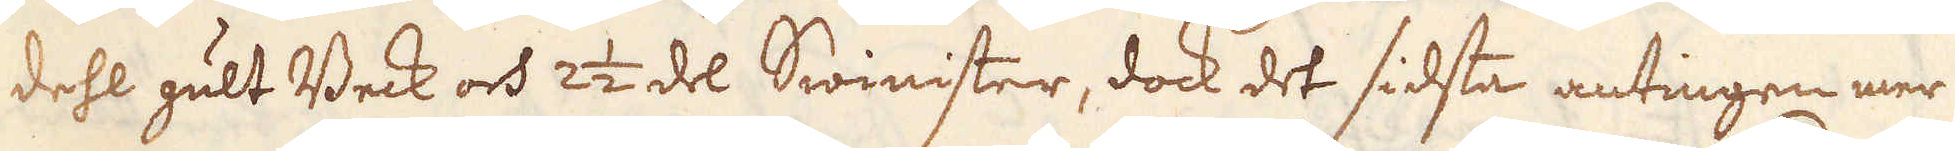dehl gult Beck och 2 1/2 del Swinister, dock det sidsta antingen mer
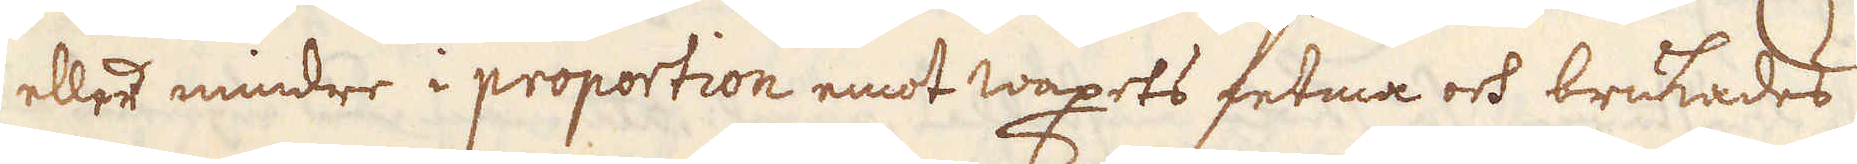eller mindre i propartion emot waxets fetma och brukades
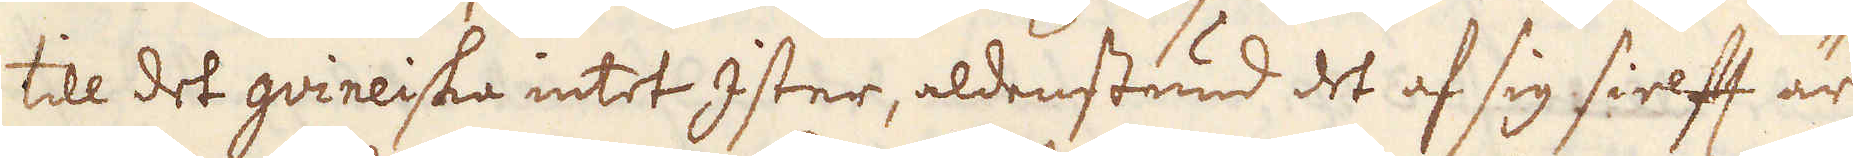till det quineiska intet ister, aldenstund det af sig sielft är
